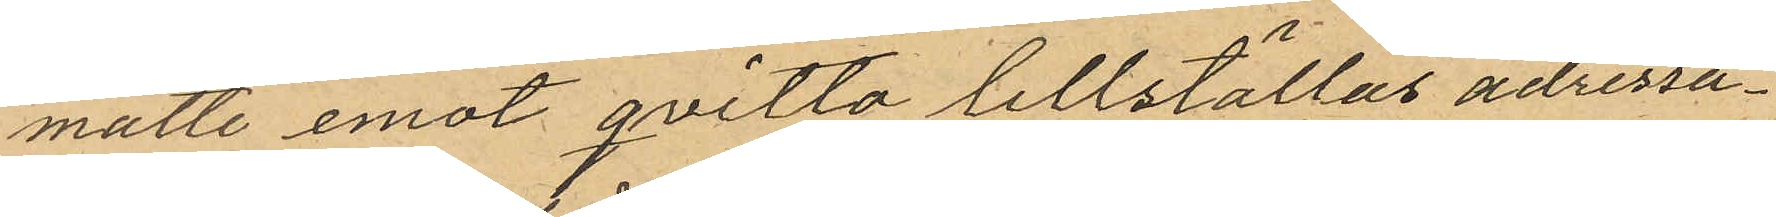måtte emot qvitto tillställas adressa¬
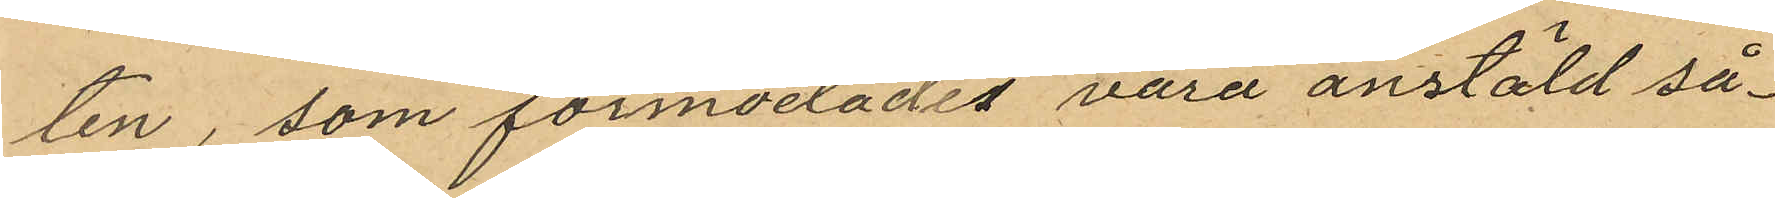ten, som förmodades vara anstäld så¬
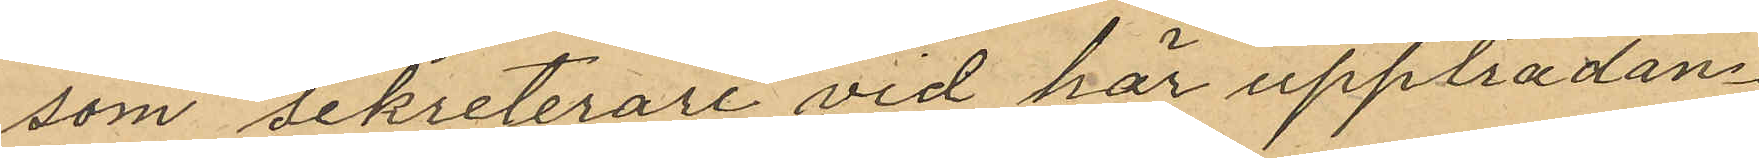som sekreterare vid här uppträdan¬
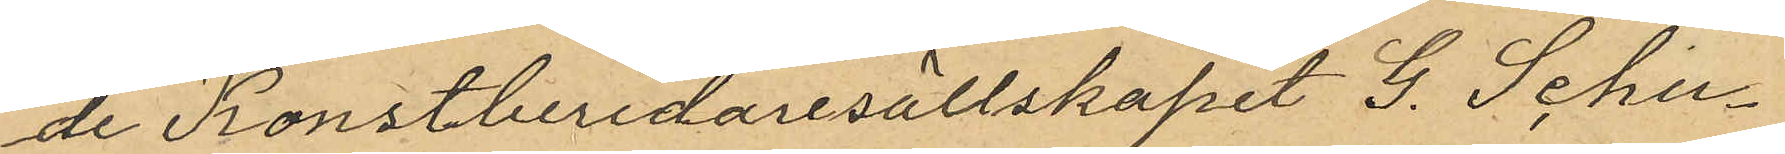de Konstberidaresällskapet G. Schu¬
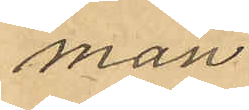man
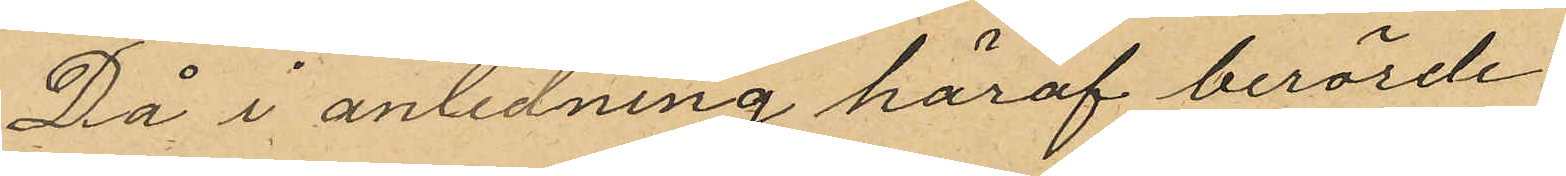Då i anledning häraf berörde
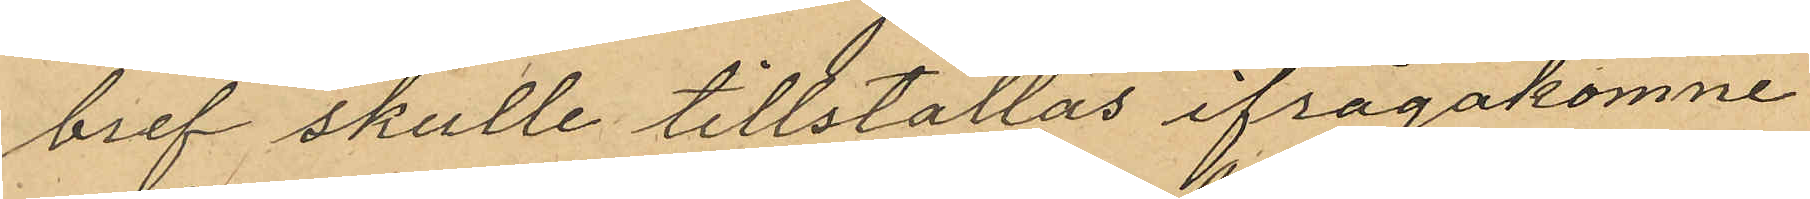bref skulle tillställas ifrågakomne
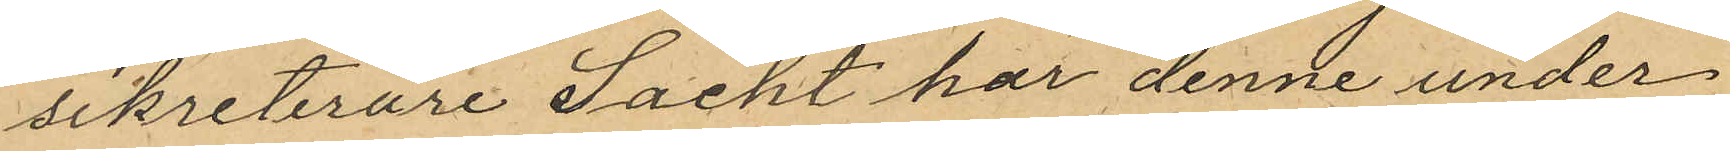sekreterare Sacht har denne under
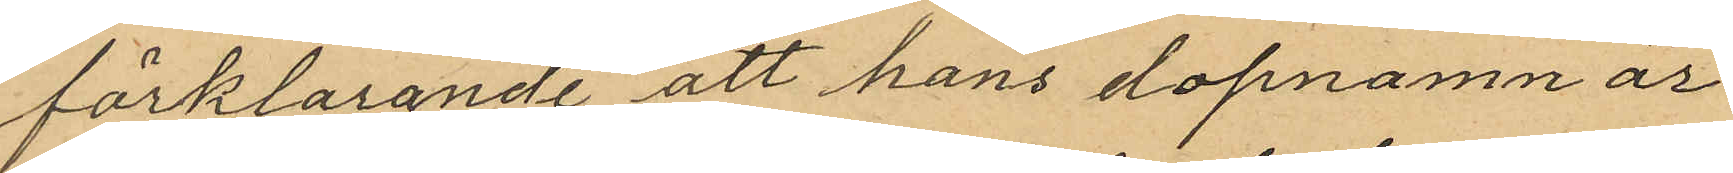förklarande att hans dopnamn är
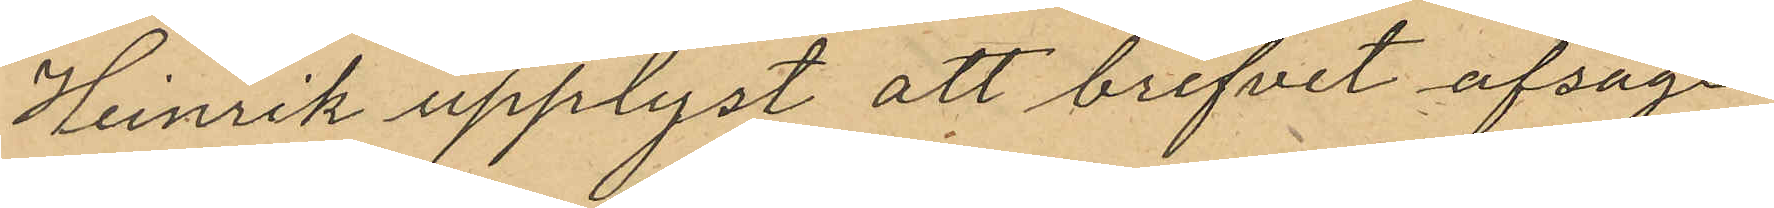Henrik upplyst att brefvet afsåge
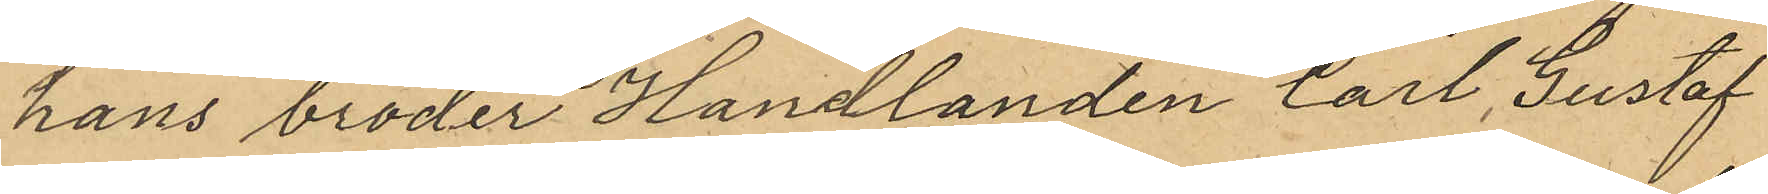hans broder Handlanden Carl Gustaf
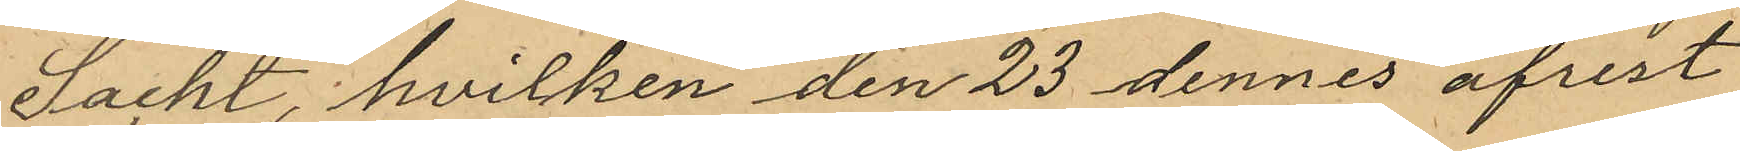Sacht, hvilken den 23 dennes afrest
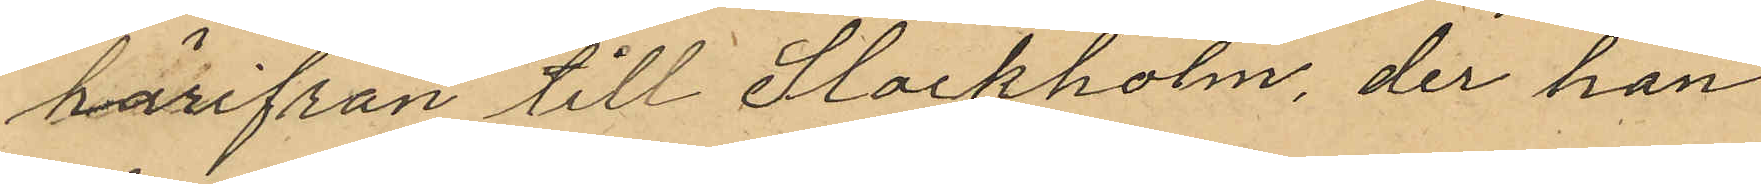härifrån till Stockholm, der han
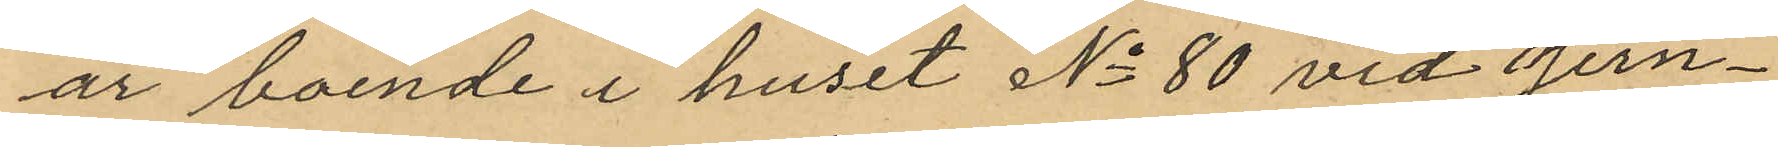är boende i huset No 80 vid Jern¬
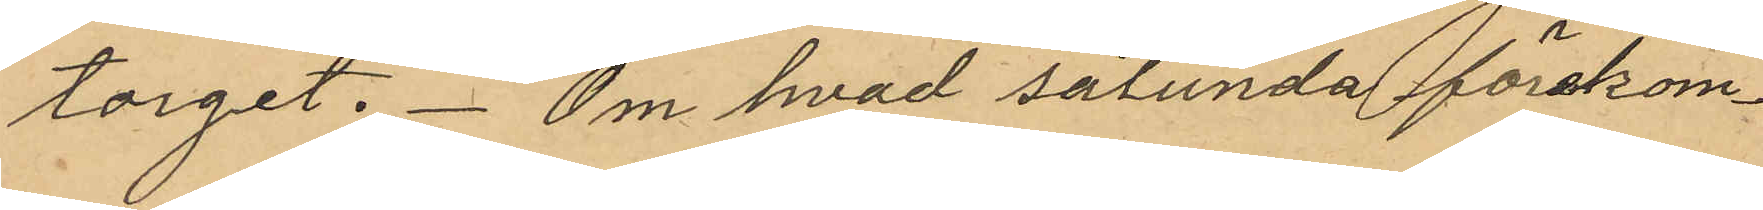torget. Om hvad sålunda förekom¬
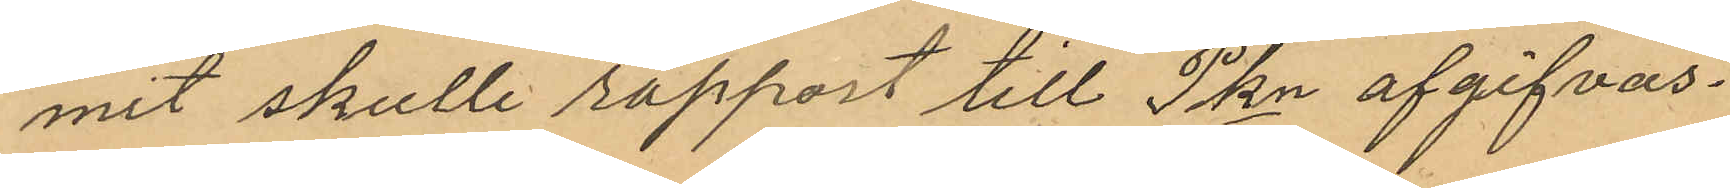mit skulle rapport till Pkn afgifvas.
